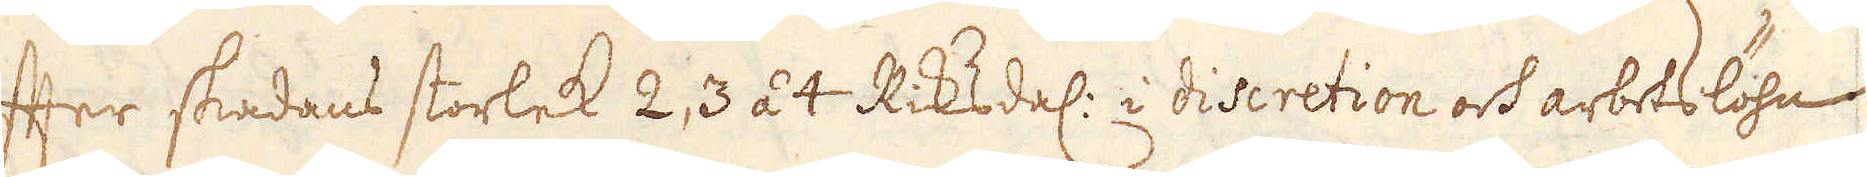efter skadans storlek 2, 3 à 4 Riksdal: i diseretion och arbeslöhn,
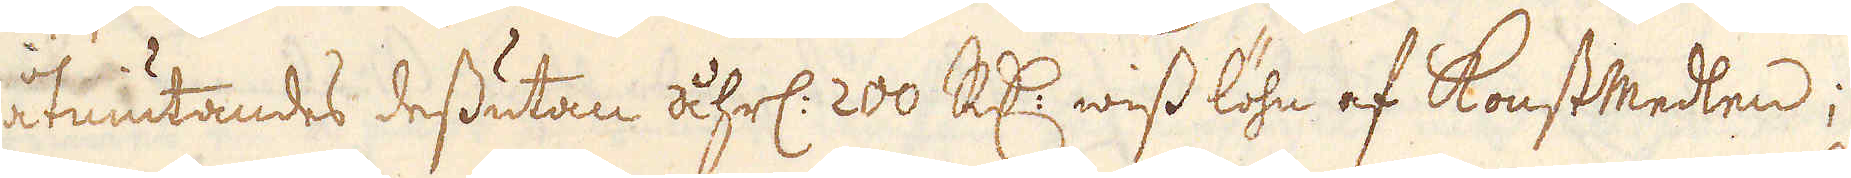åtniutandes dessuttan åhrl. 200 R:r wiss löhn af konstmedlen;
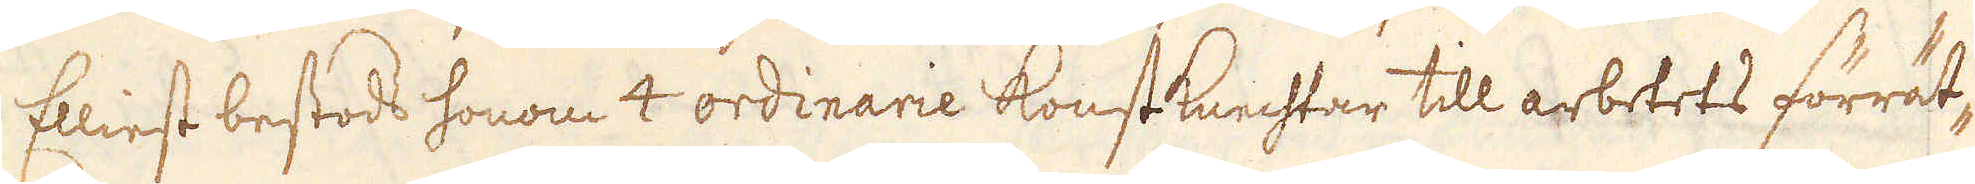Elliest bestod honom 4 ordinarie konstknechtar till arbetets förrät-
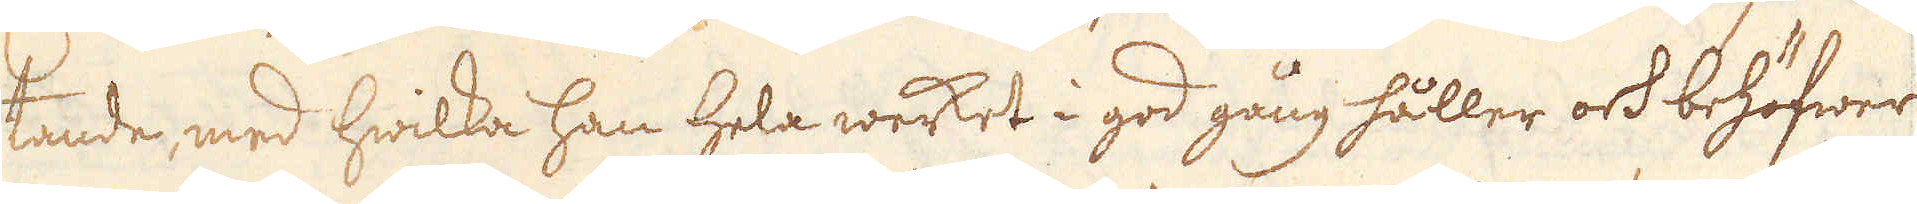tande med hwilka han hela werket i god gång håller och behöfwer
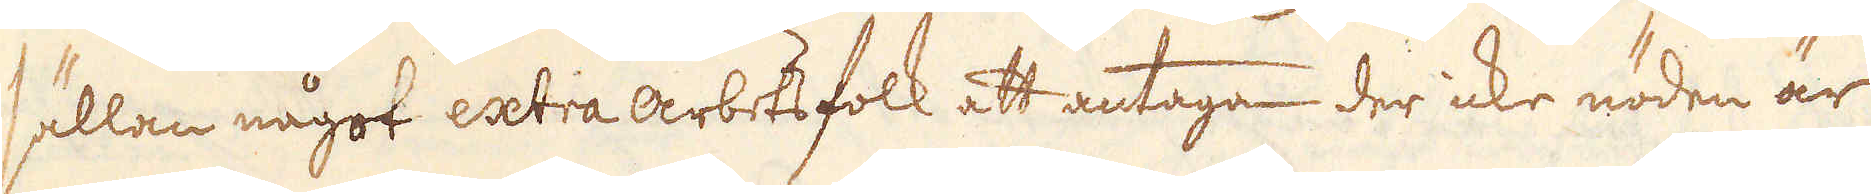sällan något extra arbetsfolk ett antaga der icke nöden är
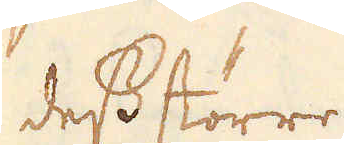desstörre.
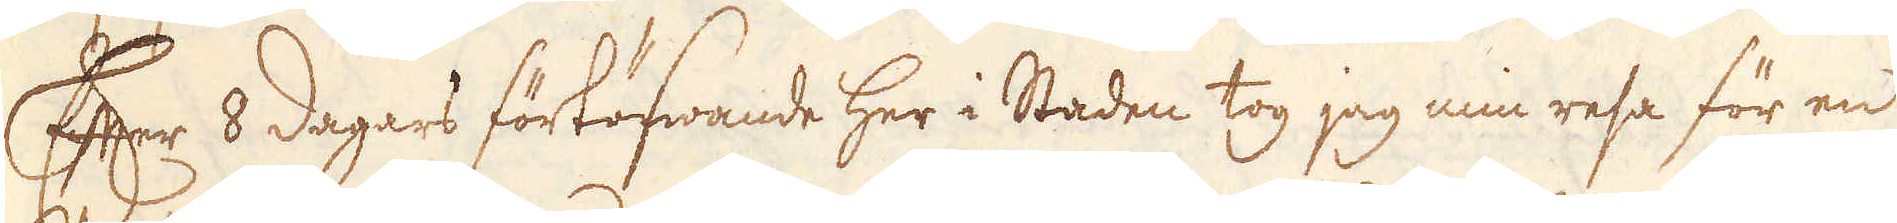Efter 8 dagars förtöfwande här i Staden tog jag min resa för en
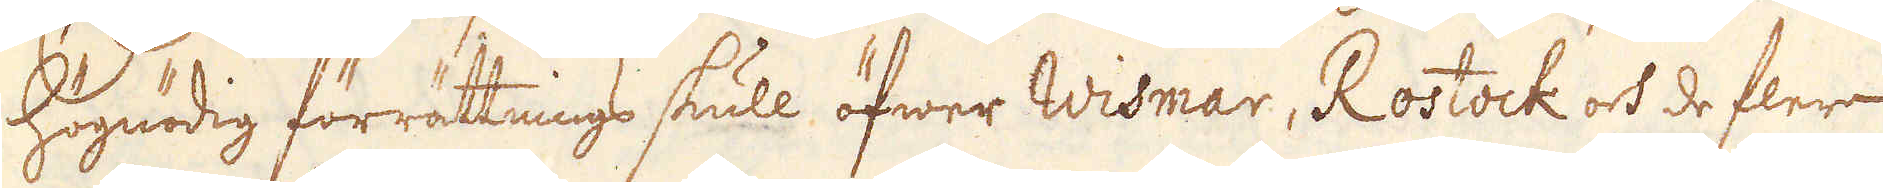högnödig förrättnings skull öfwer Wismar, Rostock och de flera
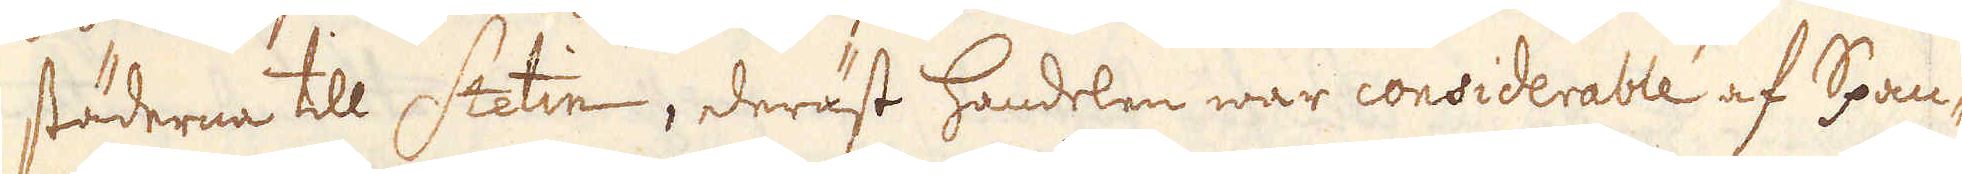städerne till Stetin, deräst handelen war considerable af Span-
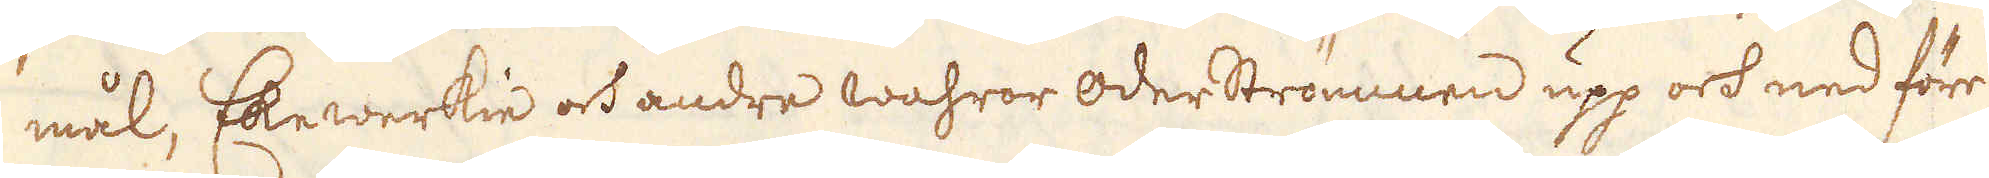mål, Ekewerkie och andre wahrer oderströmmen upp och ned före
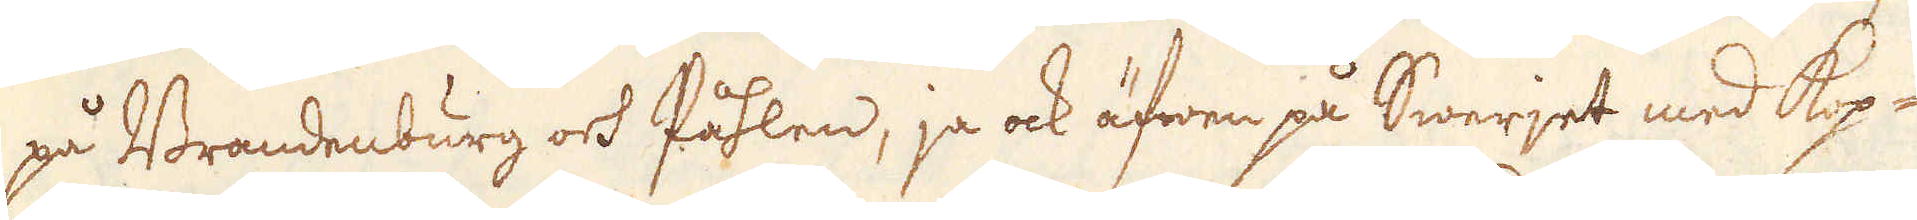på Brandenburg och Påhlen, ja ock äfwen på Swerjet med kop-
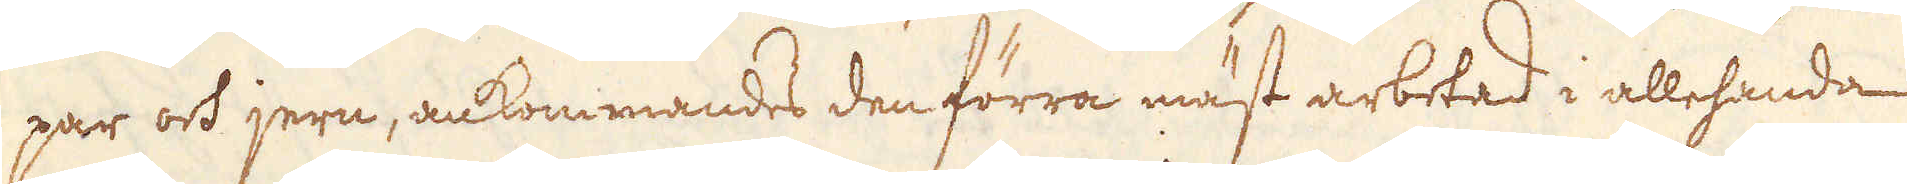par och jern, ankommandes den förra mäst arbetad i allehanda
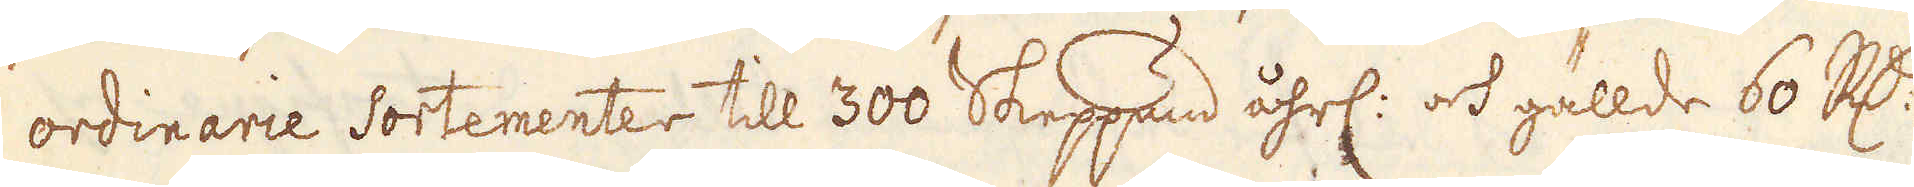ordinarie Sortementer till 300 Skeppund åhrl: ock gällde 60 R:dr
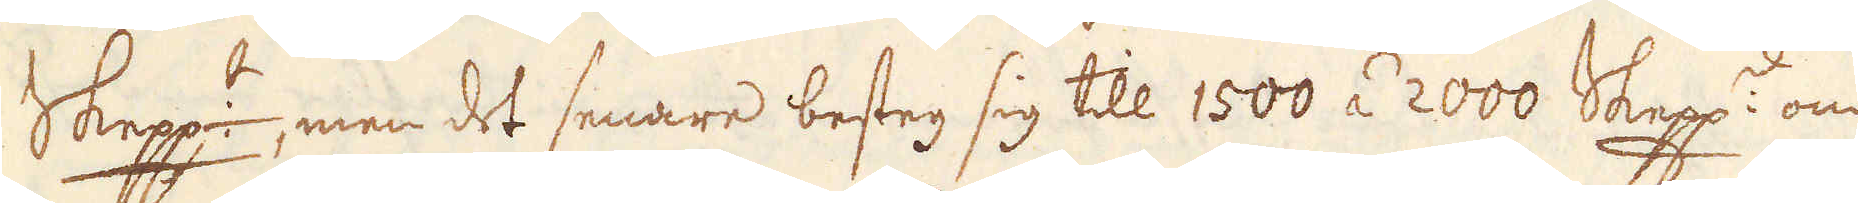Skepp:t, men det senare besteg sig till 1500 à 2000 Skepp:d om
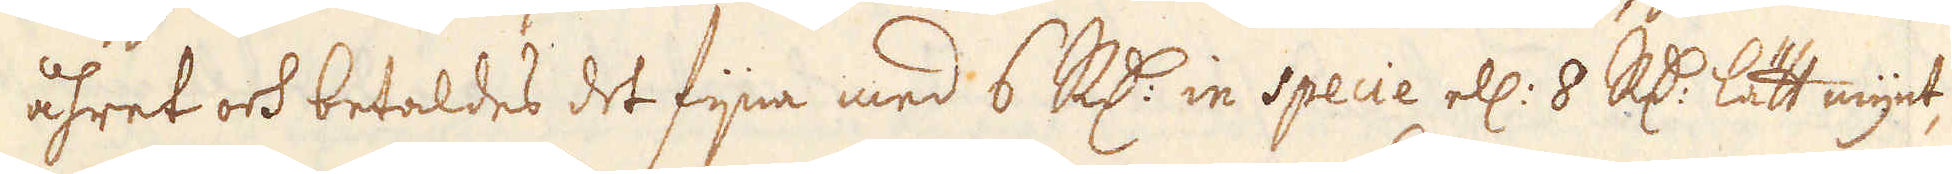åhret ock betaldes det fijna med 6 R:dr in specie ell: 8 R:r lätt mynt,
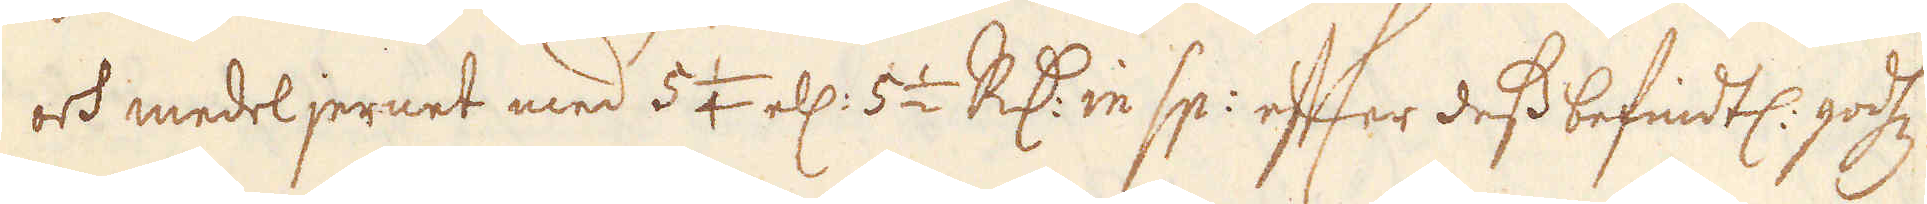och medel jernet med 5 1/4 el. 5 1/2 R:dr in sp: efter dess befindtl. godtz
